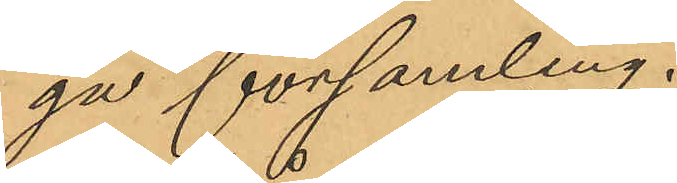ga församling.
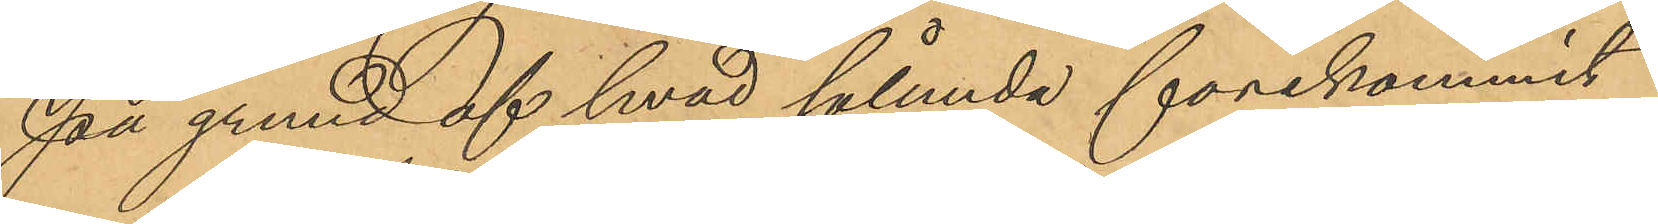På grund af hvad sålunda förekommit
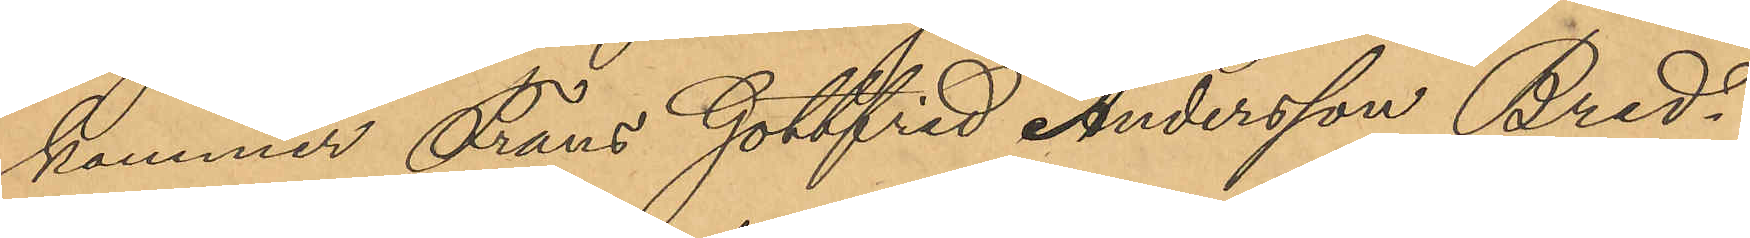kommer Frans Gottfrid Andersson Bred¬
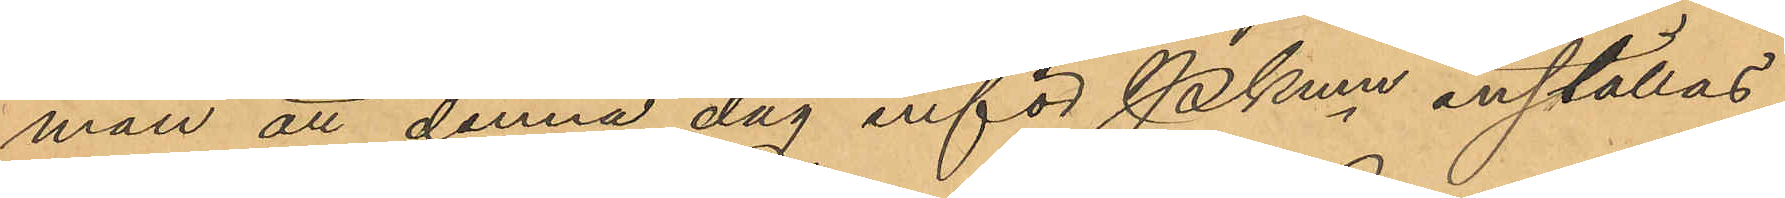man att denna dag inför Pkmn inställas.
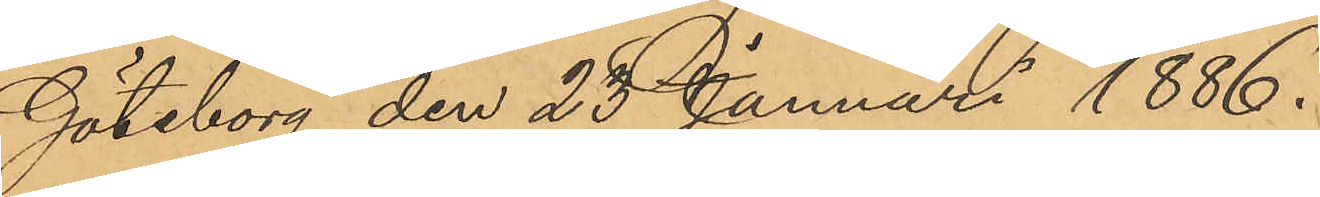Göteborg den 23 Januari 1886.
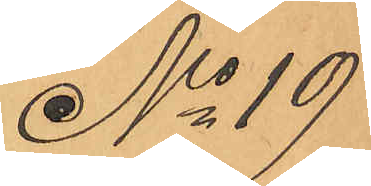No 19
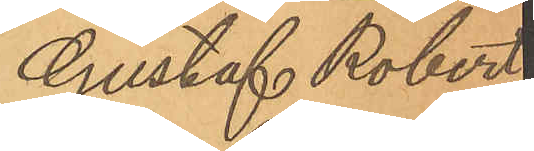Gustaf Robert
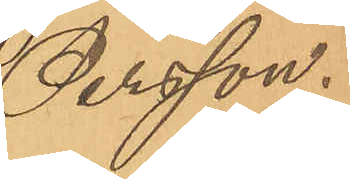Persson.
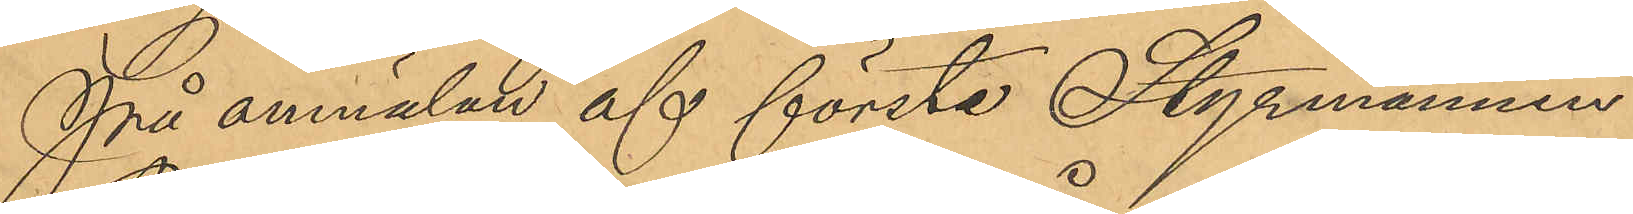På anmälan af första Styrmannen
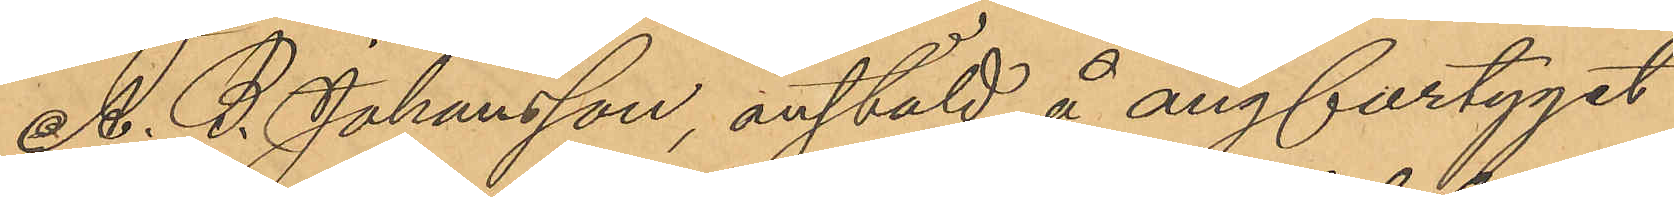A. B. Johansson, anstäld å ångfartyget
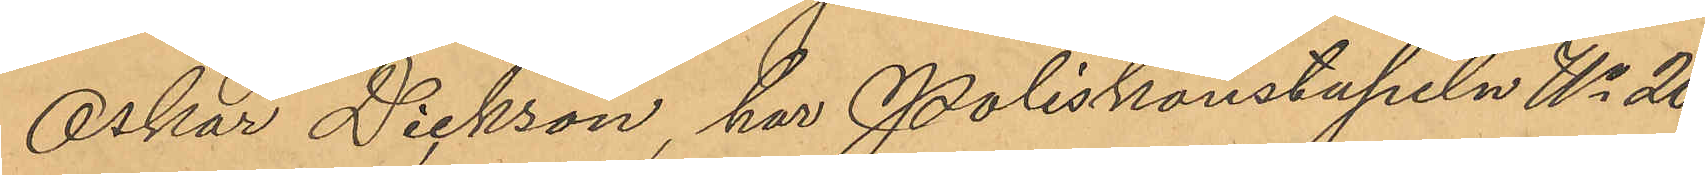Oskar Dickson, har Poliskonstapeln No 20
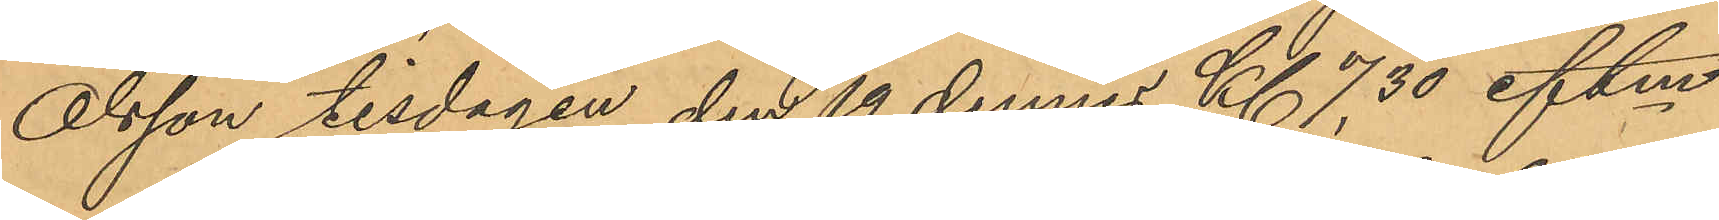Olsson tisdagen den 19 dennes Kl 7,30 eftm
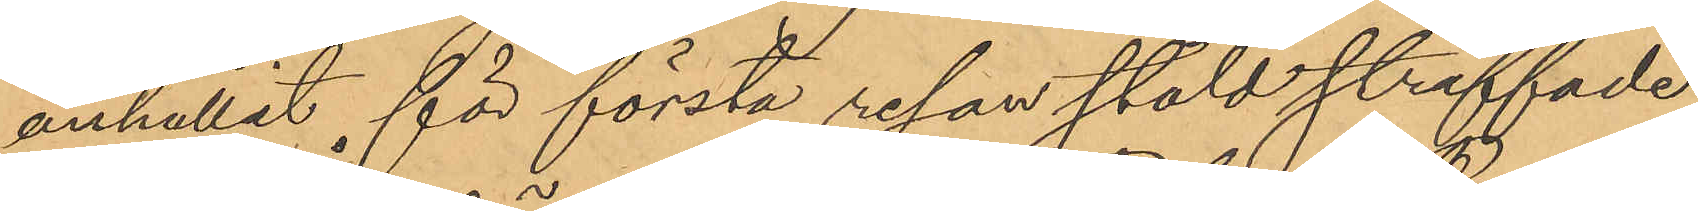anhållit för första resan stöld straffade
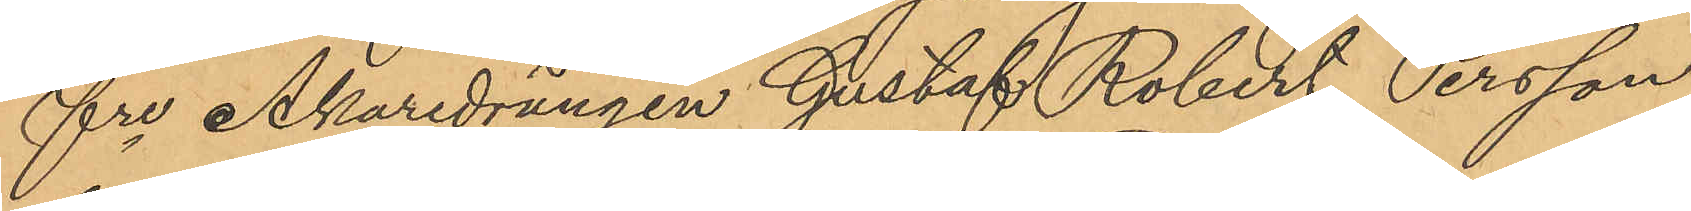fre Åkaredrängen Gustaf Robert Persson
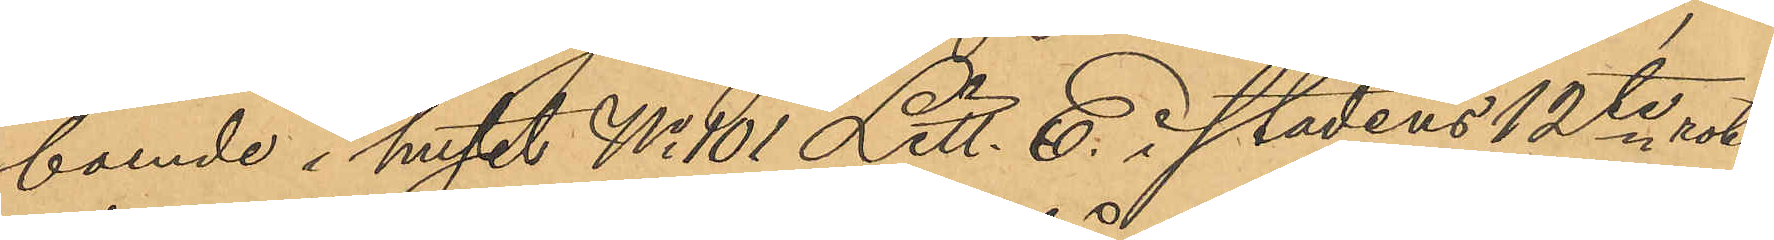boende i huset No 101 Litt. E. i stadens 12te rote,
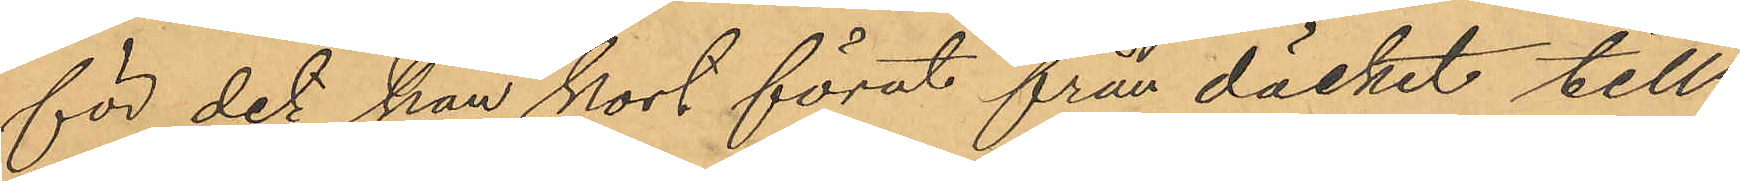för det han kort förut från däcket till
